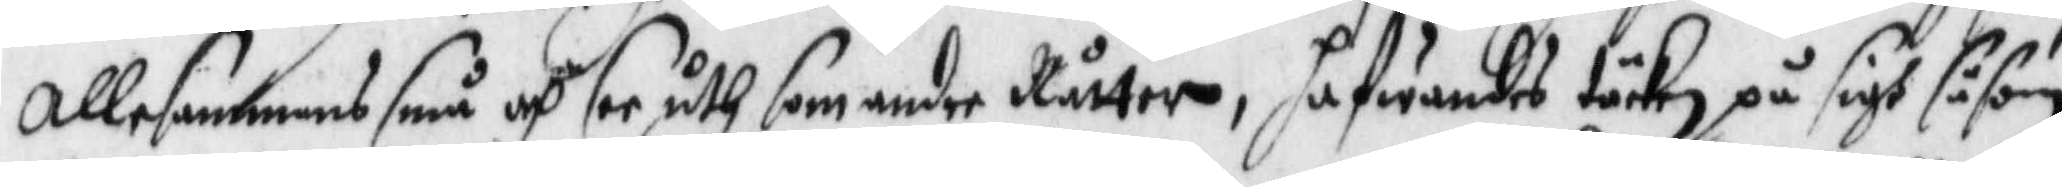Allesammans små och ser uth som andre Råttor, hafwandes täcke på sigh såsom
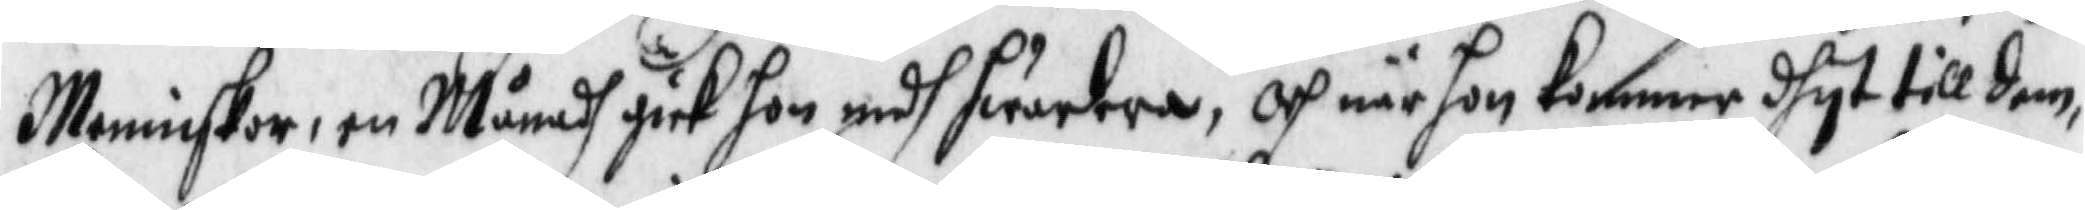Menniskior, en Månadh gick hon medh hwartra, och när hon kommer dhyt till dem,
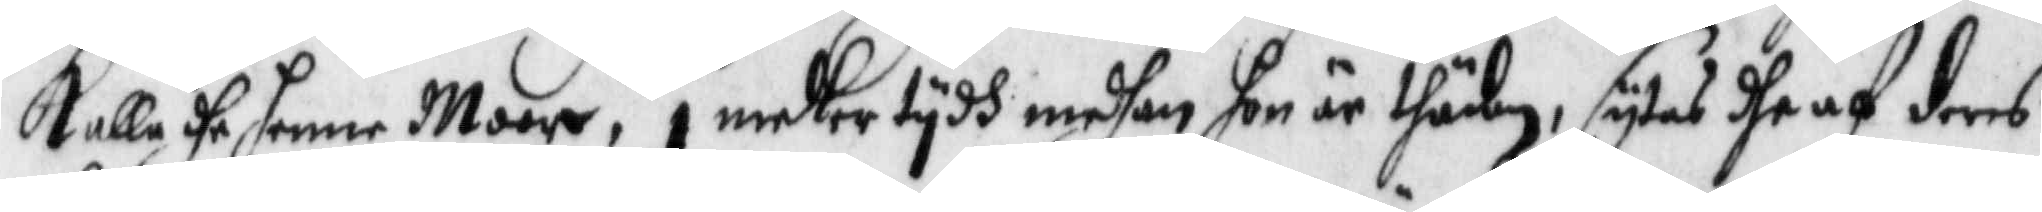Kalla dhe henne Moder, i medler tydh medhan hon är thäbn, sytes dhe af dens
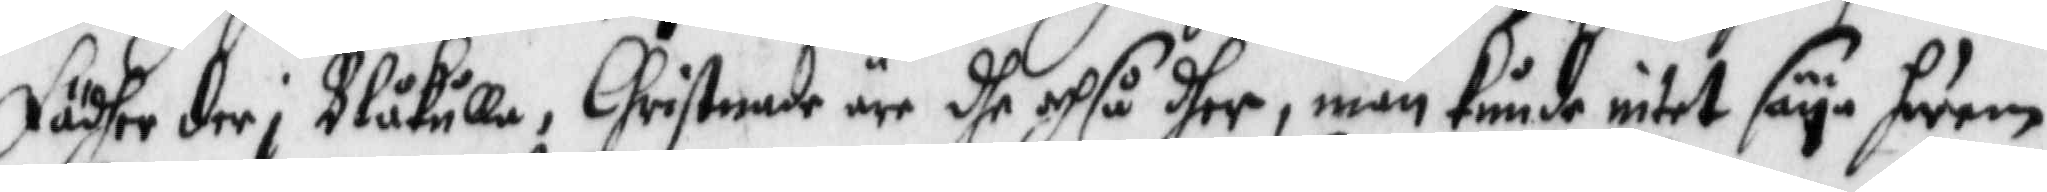fädher der i Blåkulla, Christnade äre dhe och så dher, mn kunde intet säya hwem
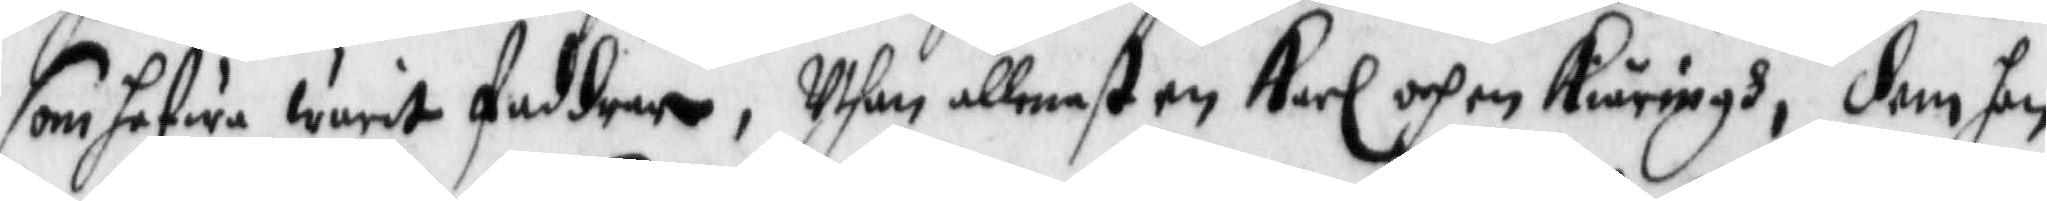som hafwa warit faddrer, Uthan allenast en Karl och en Kiäringh, dom hon
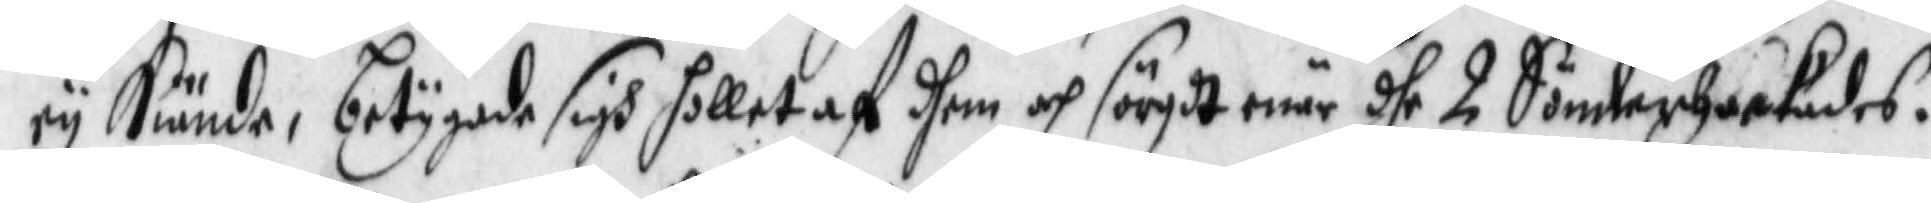ey Kuände, betygade sigh holletaf dhem och sörgdt när dhe 2 Sönderhackades.
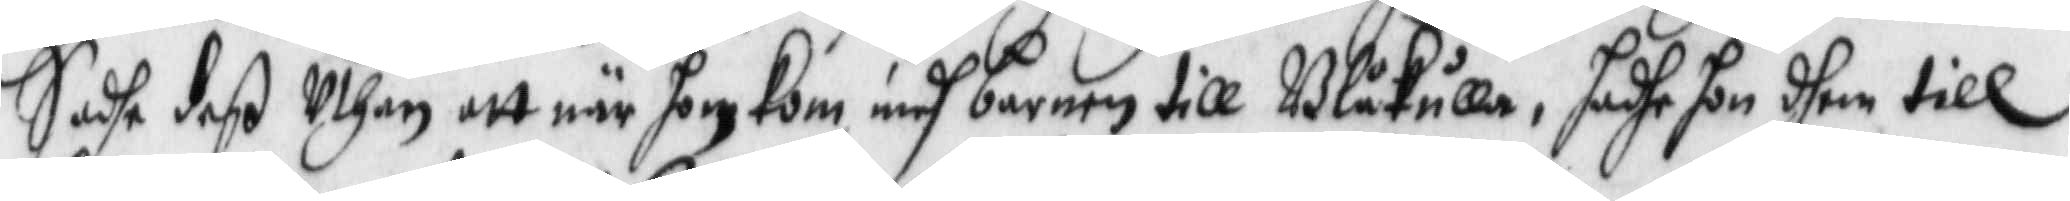Sadhe deß Uthan att när hon Kom medh barnen till Blåkulla, hadhe hon dhem till
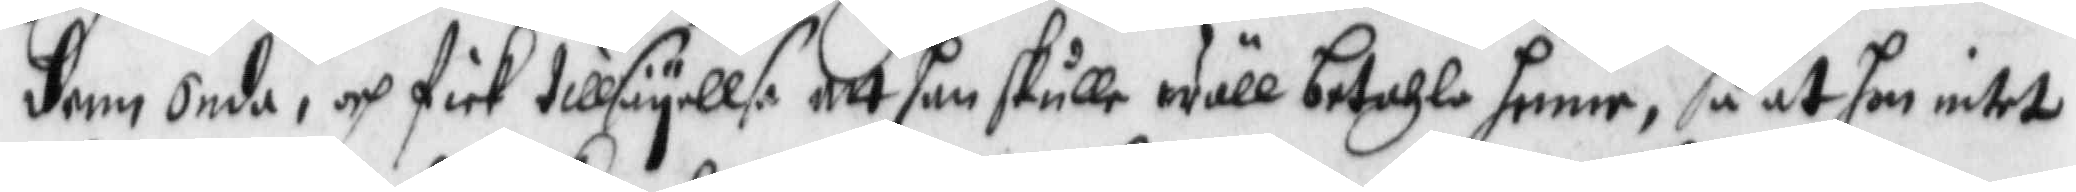denn onda, och fick tillsäyllse att han skulle wäll betahla henne, så at hon intet
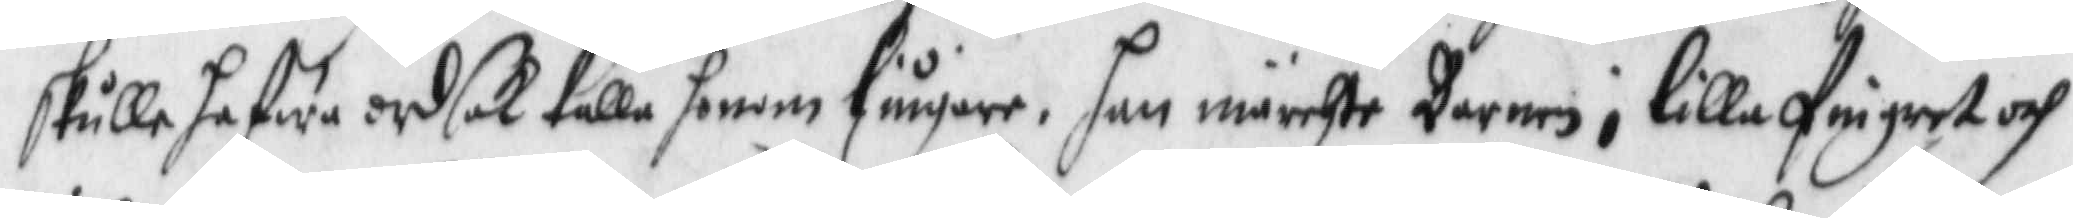skulle hafwa ordsak kalla henne liugare. hon märchte Barnen i lilla fingret coh
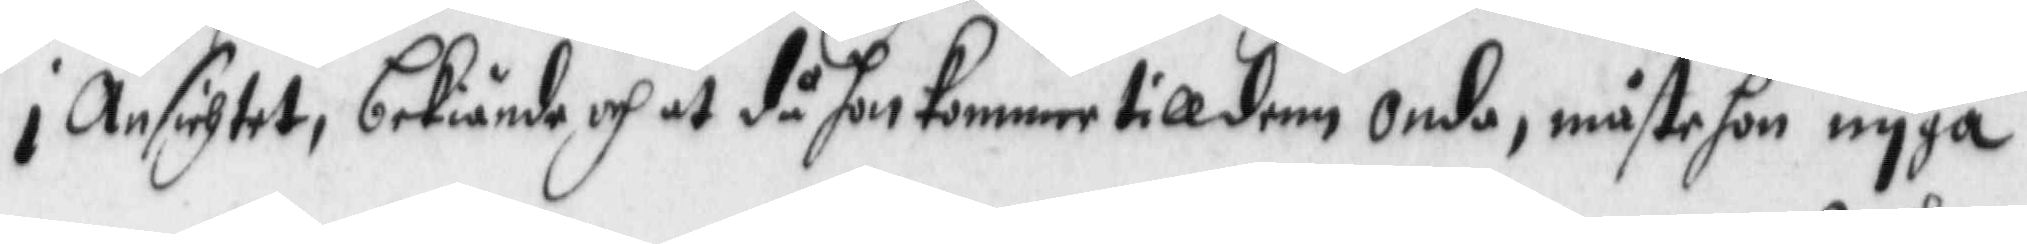i Ansichtet, beiände och at då hon Kommer till denn onda, måste hon nyga
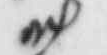och
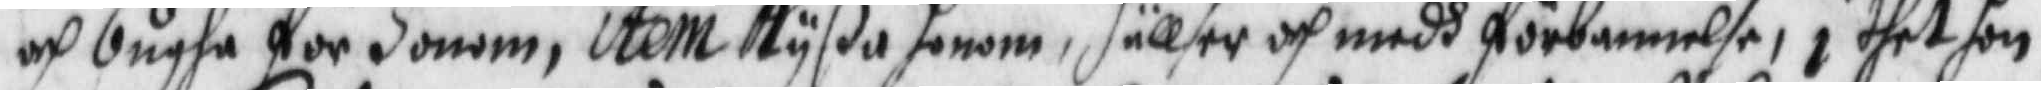och bugha för honom, item Kyßa honom,hällser och medh förbannelse, i thet hon
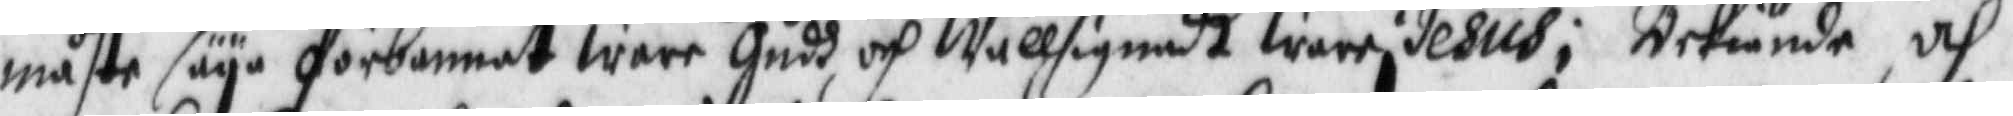måste säya förbannat warr Gudh och Wällsignadt Wari Jesus; Bekiände och
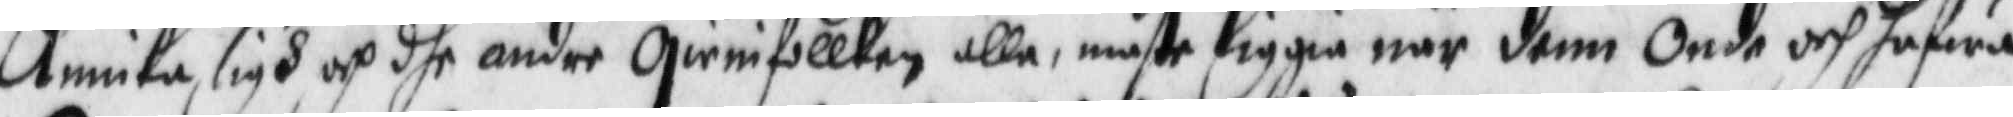Annika sigh och dhe andre qwinfollken alla, måste liggia när denn onde och hafwa
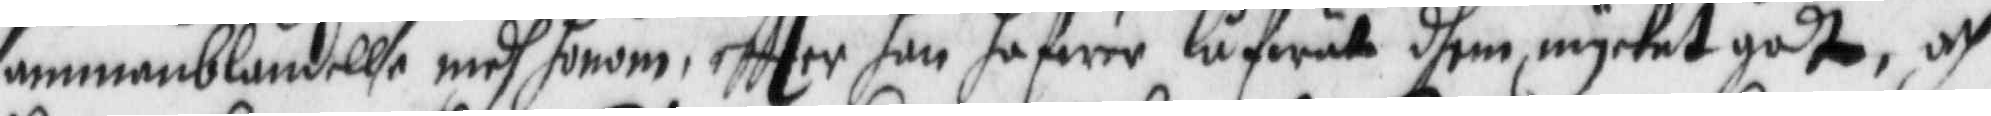sammanblandellse medh honm, eftter han hafwer låfwar dhen mycket godt, och
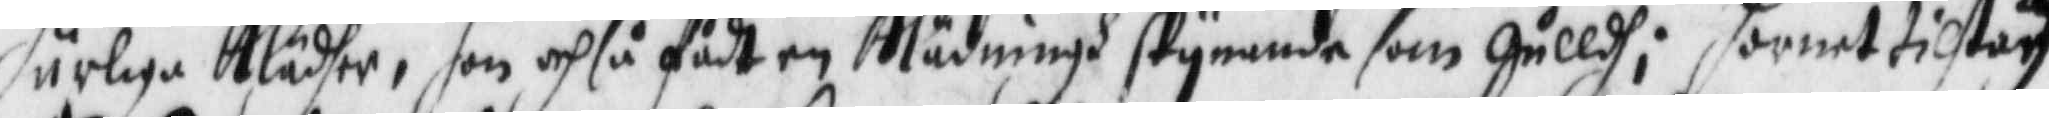härliga Klädher, hon och så fådt en Klädningh skynande som gulldh; hornet tilstodh
